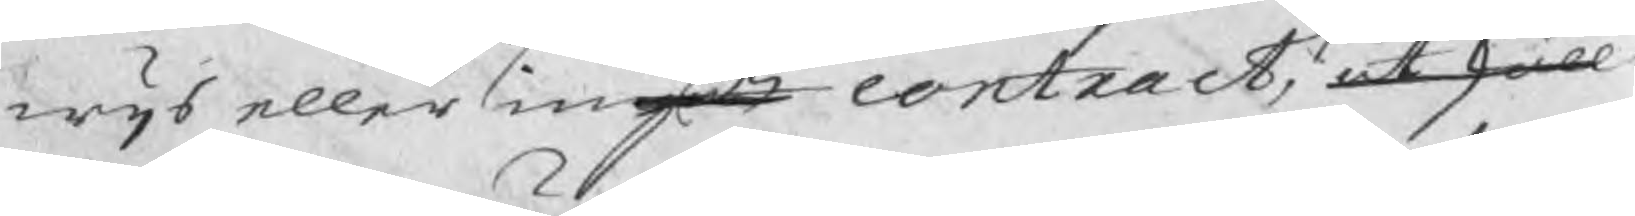wijs eller ingått contract, at skall
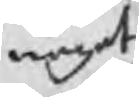något
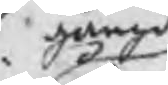gångit
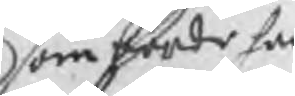som borde han
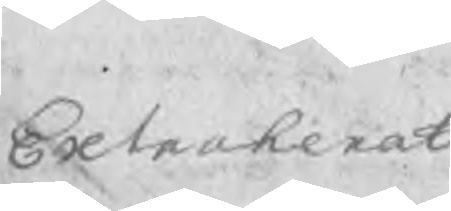Extraherat
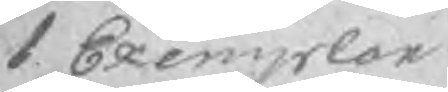1 Exemplar
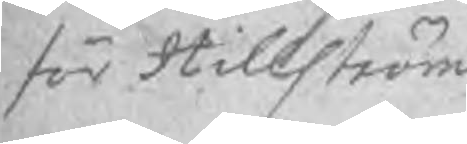för Hillström
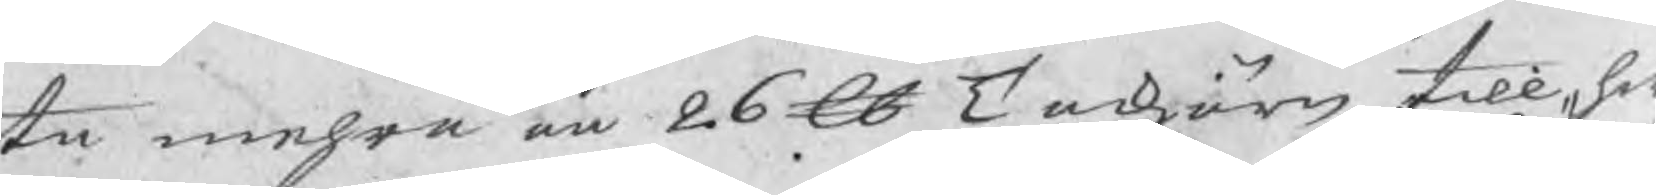te mehra än 26 ℔ Tackjärn till hw
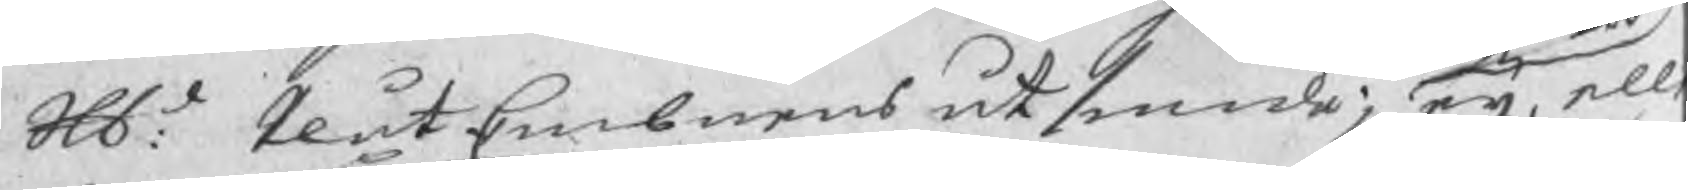Skl: PlåtEmbnens utsmide; eij elle
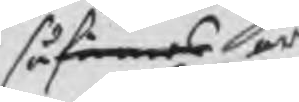så finnas äro
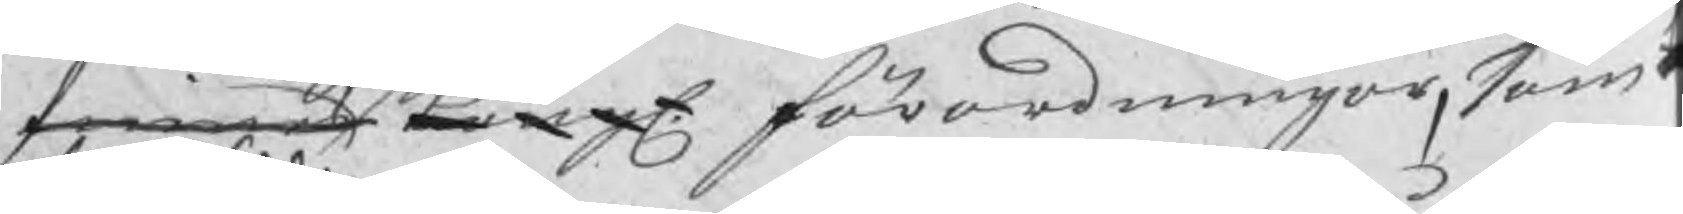finnes Kongl. förordningar, som
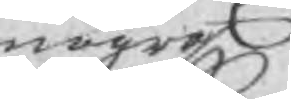några
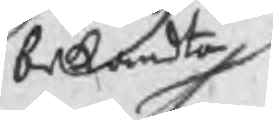bekandta
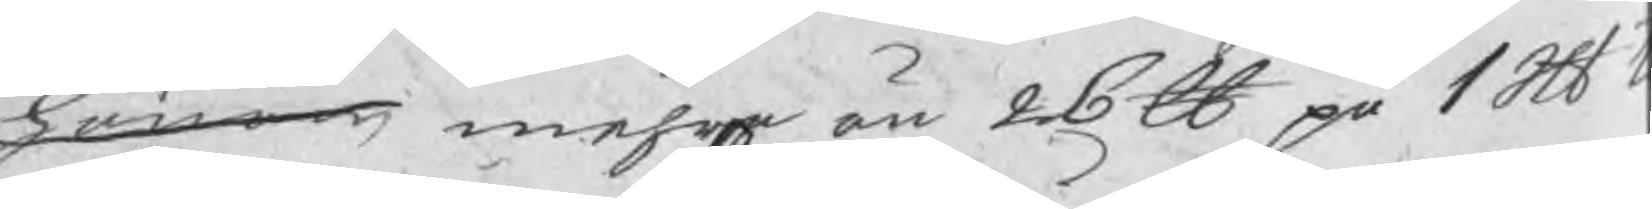honom mehra än 26 ℔ på 1 Skl t
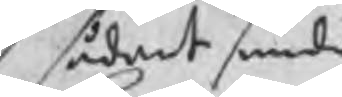sådant smide
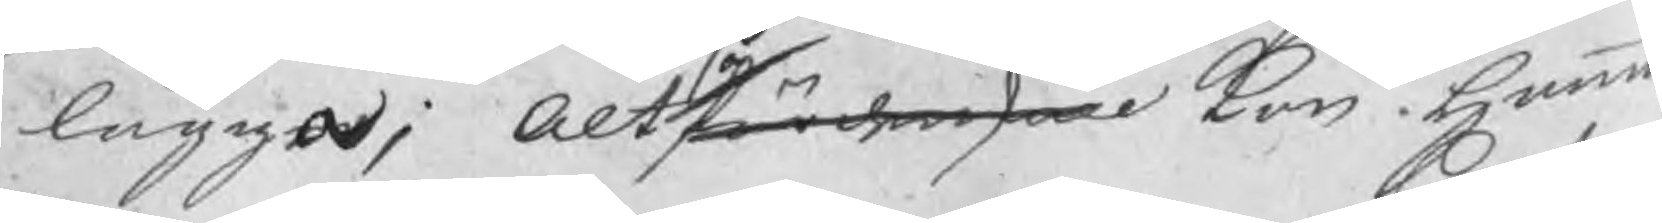lägga; Altså fördenskull kan hamma
